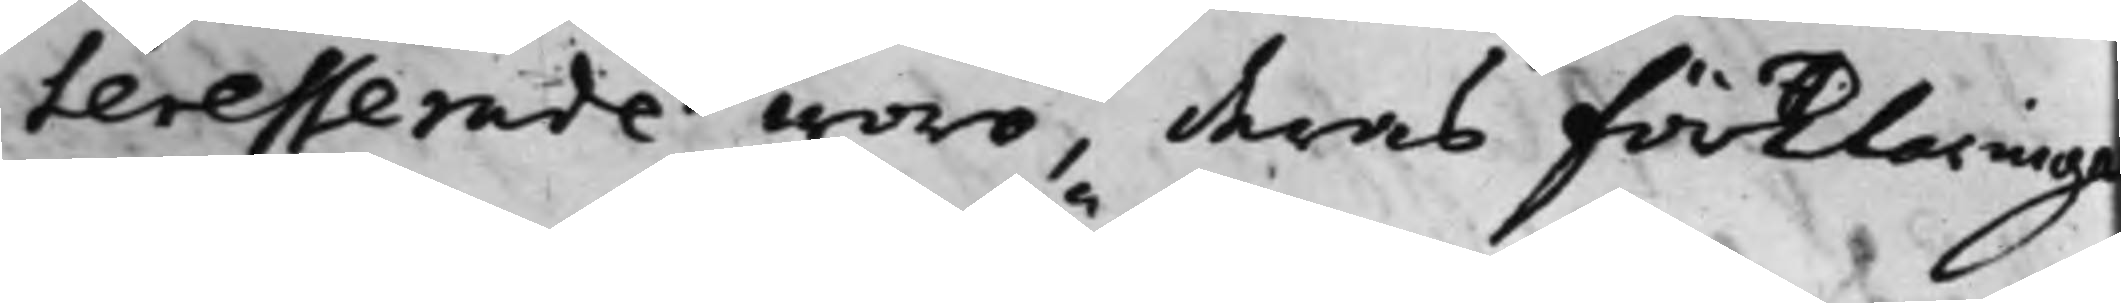teresserade woro, deras förklaringa
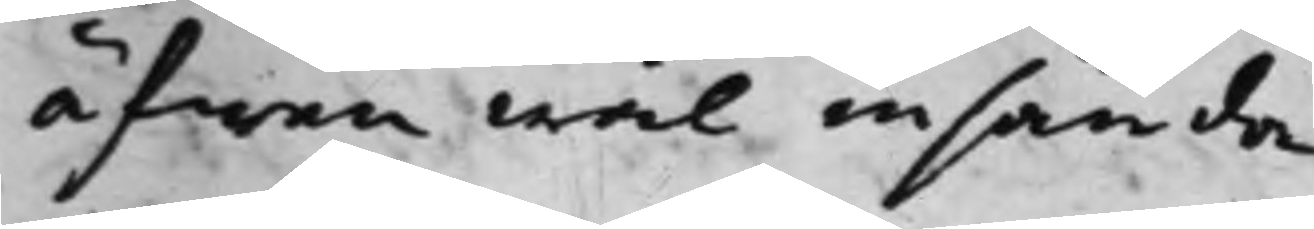äfwen wäl insända.
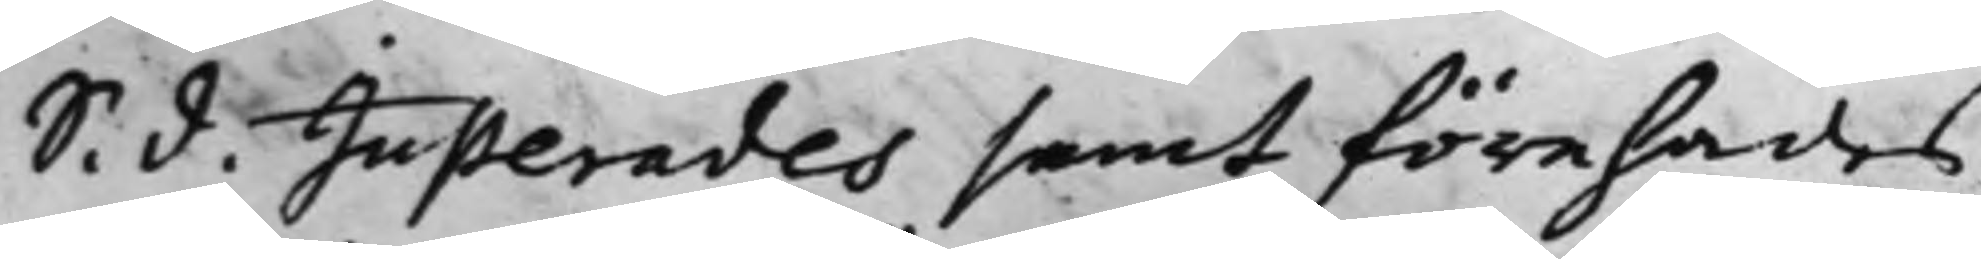S. d. Justerades samt förehades
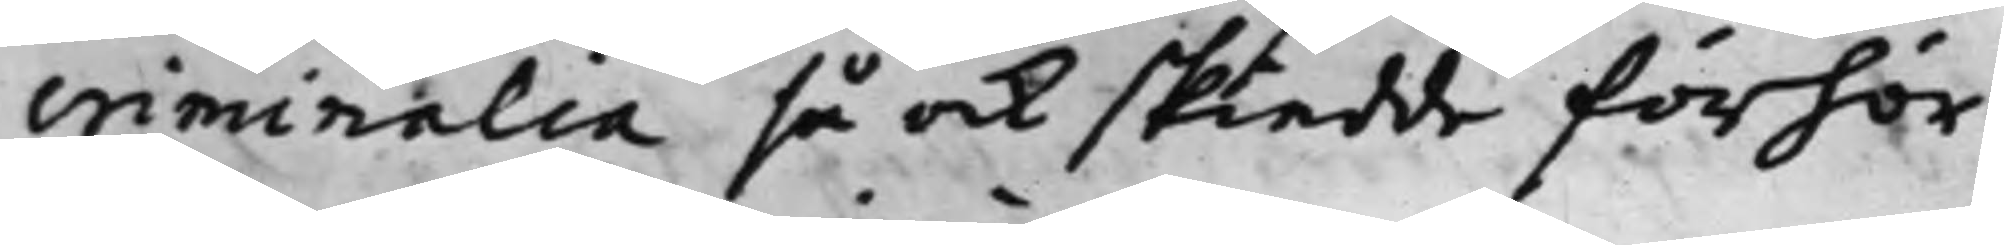criminalia så ock skiedde förhör,
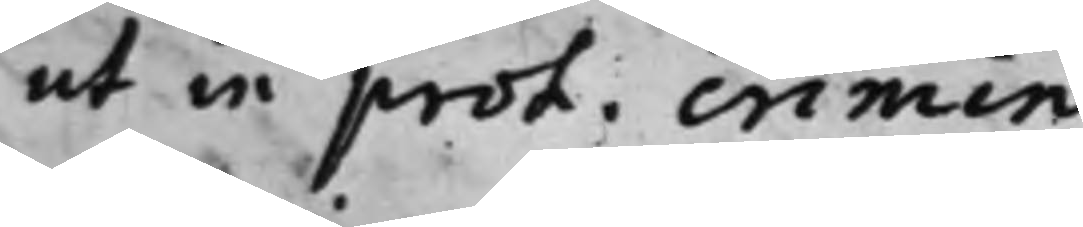ut in prot. crimin.
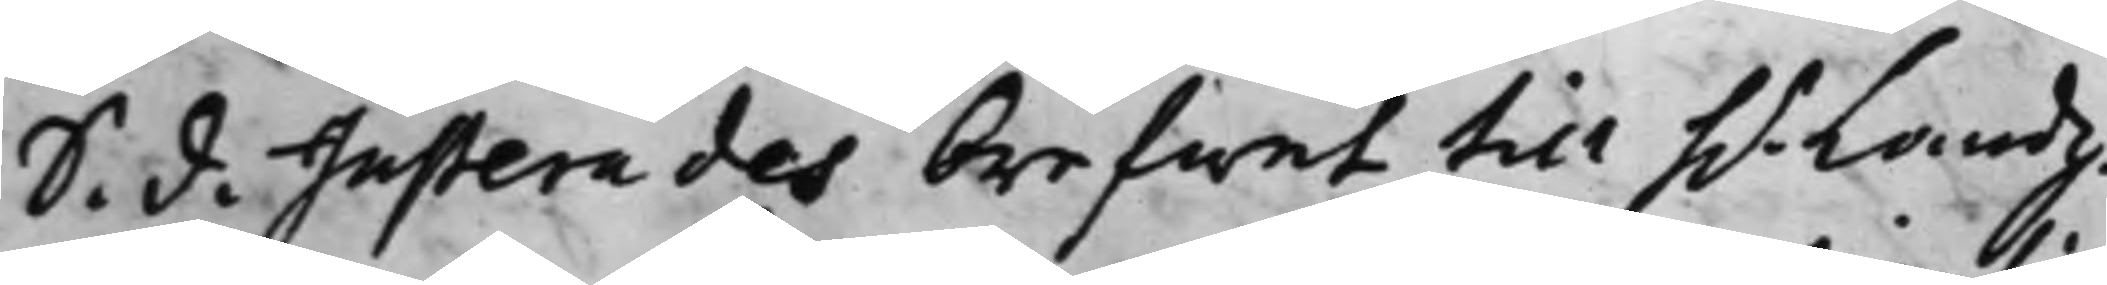S. d.Justerades brefwet till h.r Landz¬
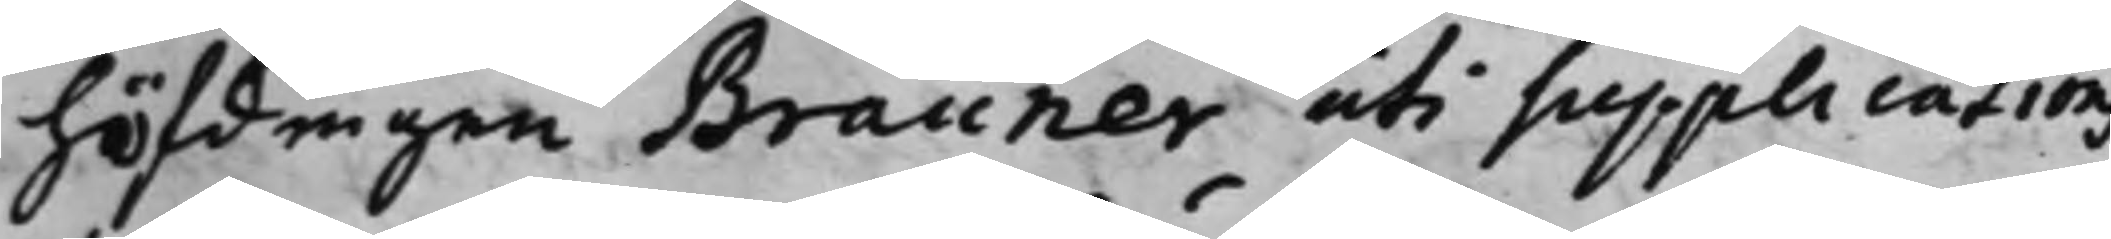höfdingen Brauner uti Supplications
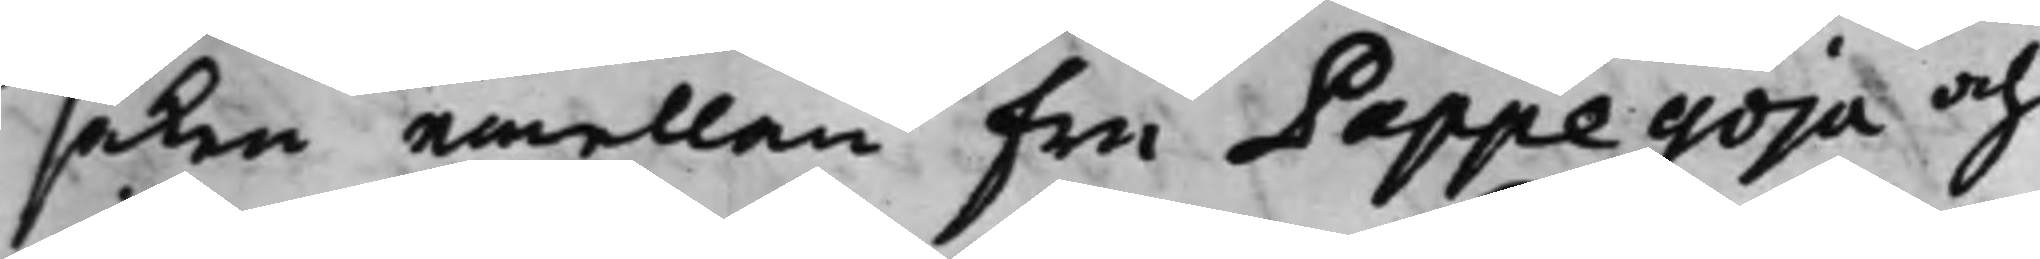saken emellan Fru Pappegöja och
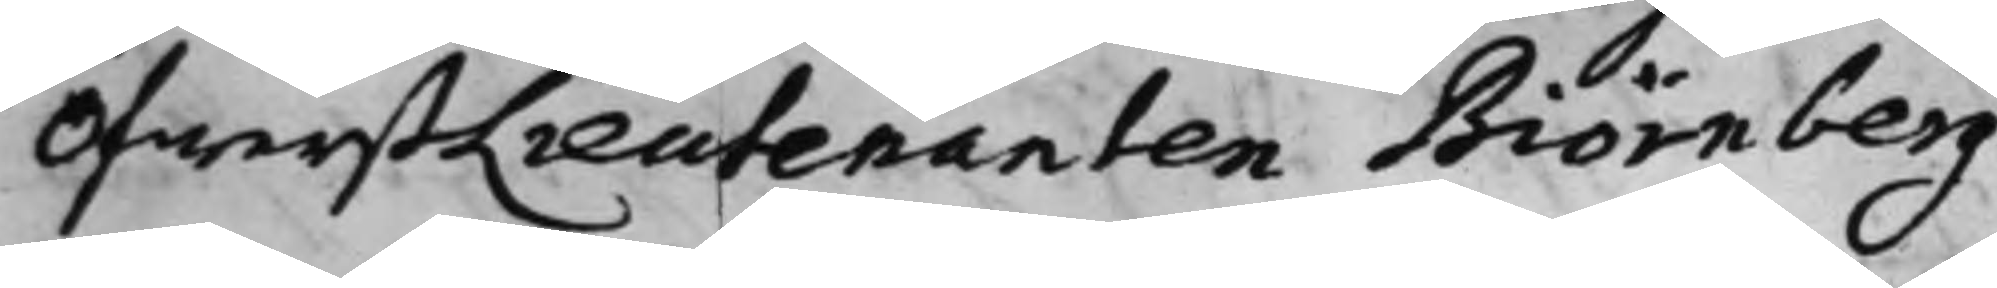ÖfwerstLieutenanten Biörnberg.
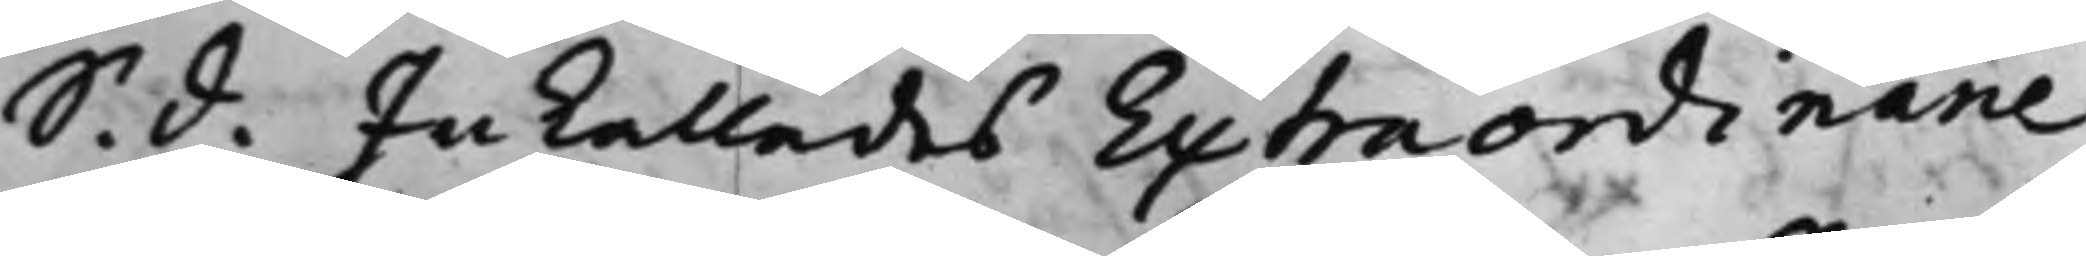S. d. Inkallades Extraordinarie
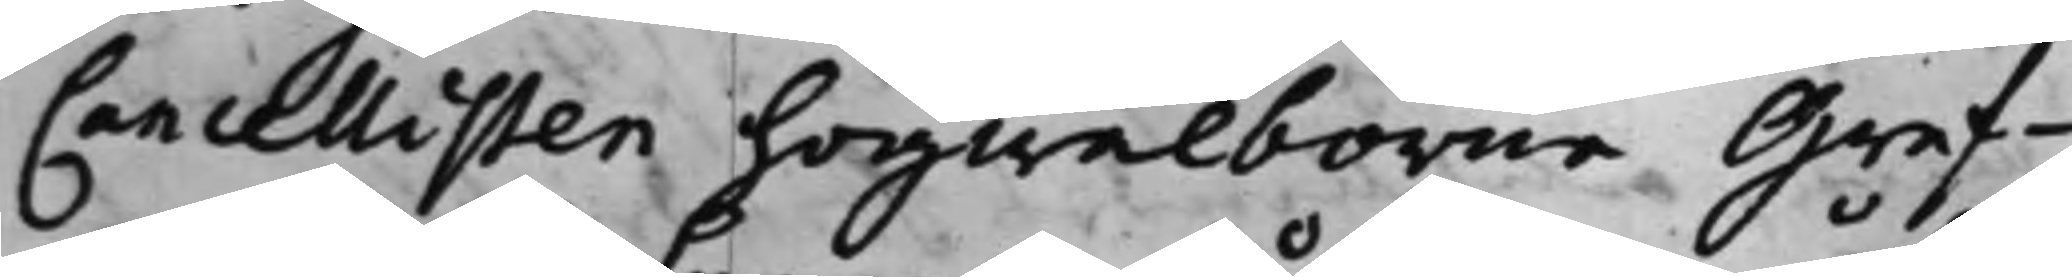Cancellisten högwälborne Gref¬
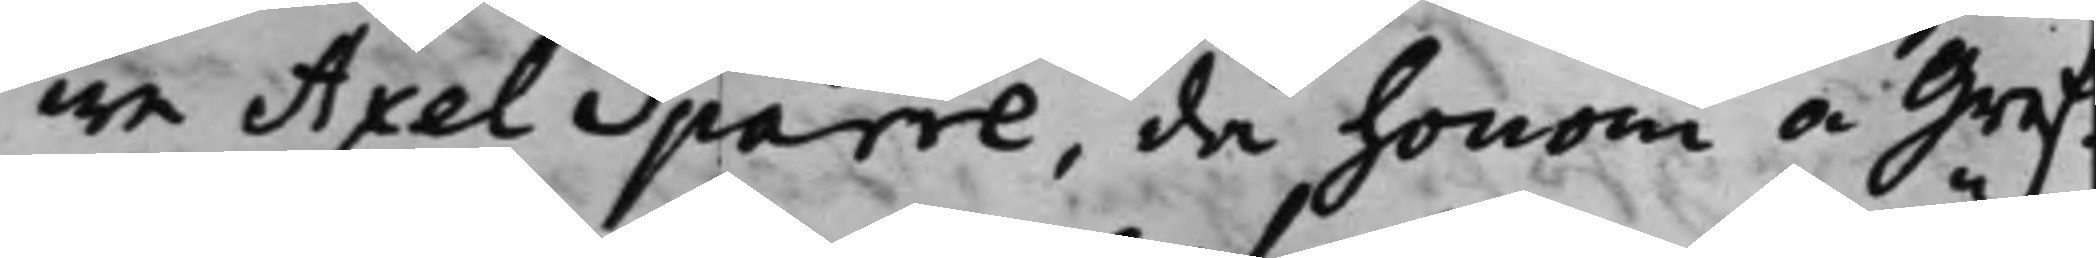we Axel Sparre, då honom å Gref¬
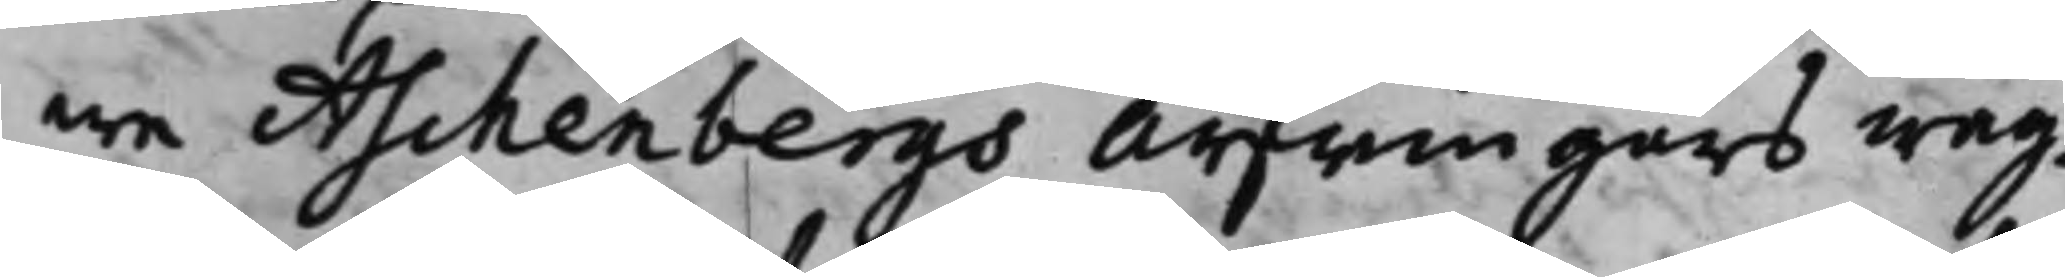we Aschenbergs Arfwingars wäg¬
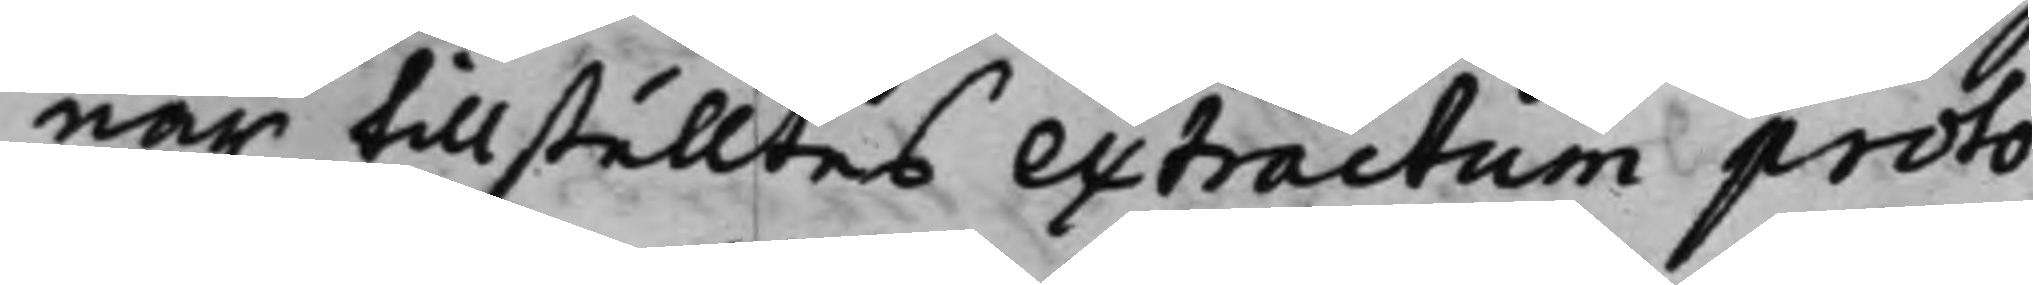nar tillställtes extractum proto¬
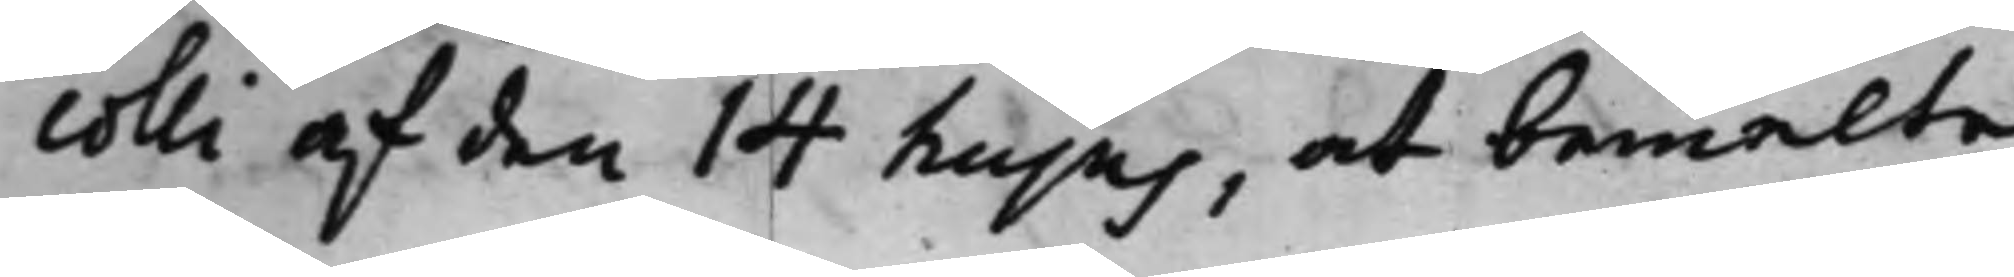colli af den 14 hujus, at bemelte
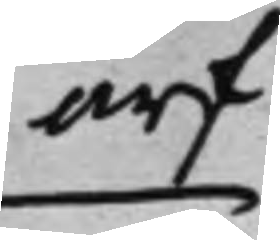arf¬
